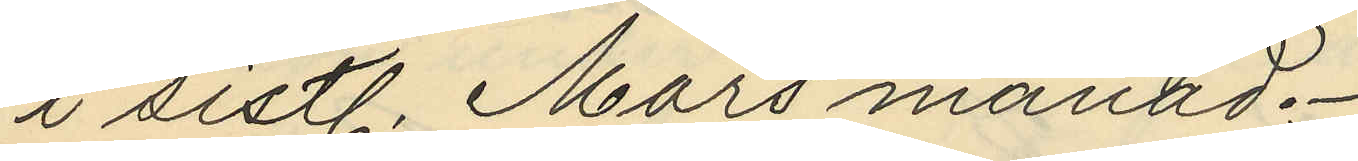i sistl. Mars månad.
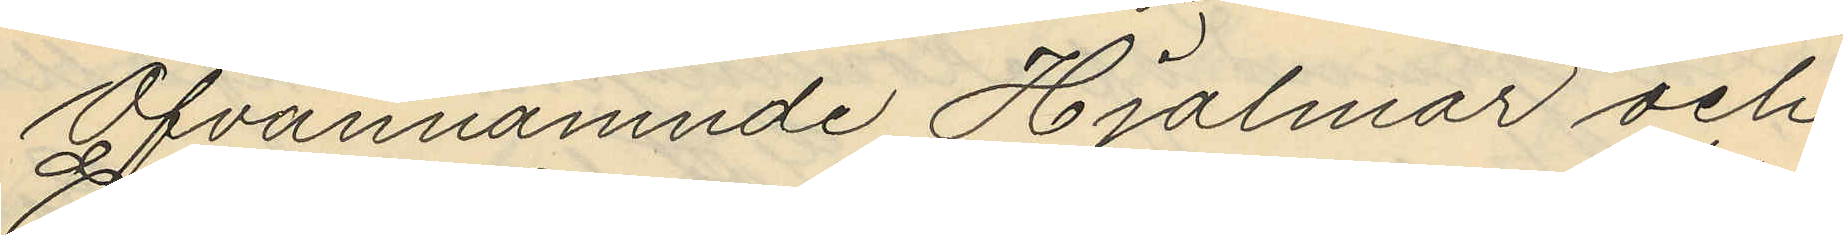Ofvannämnde Hjalmar och
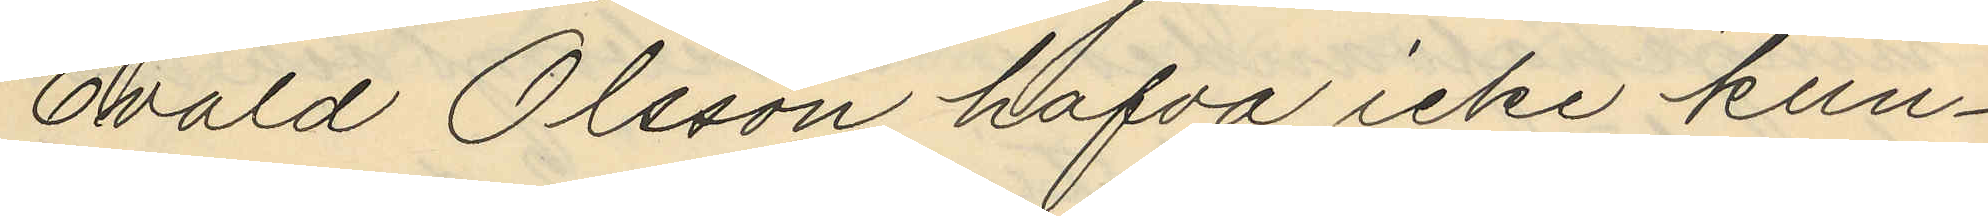Evald Olsson hafva icke kun¬
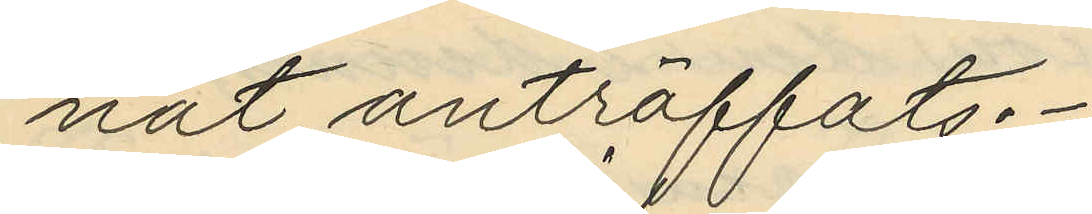nat anträffats.
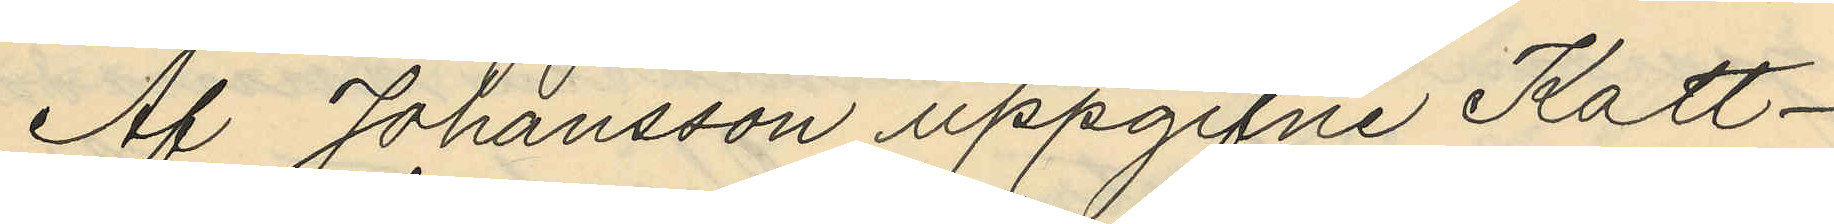Af Johansson uppgifne Katt-
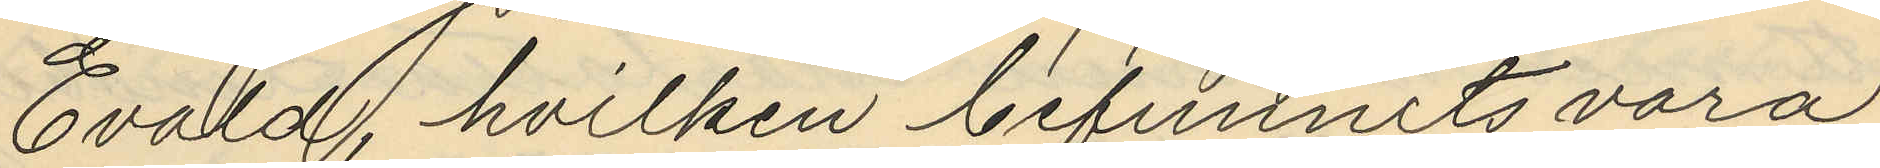Evald, hvilken befunnits vara
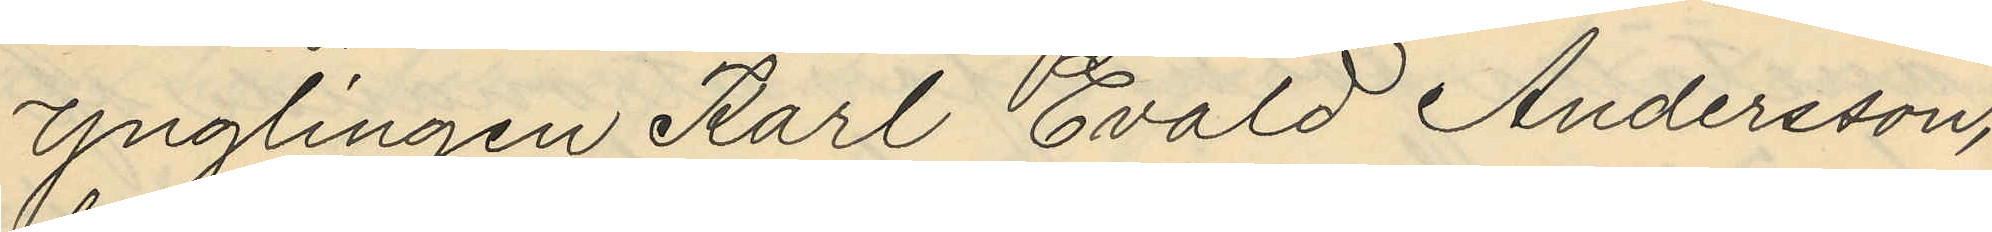ynglingen Karl Evald Andersson,
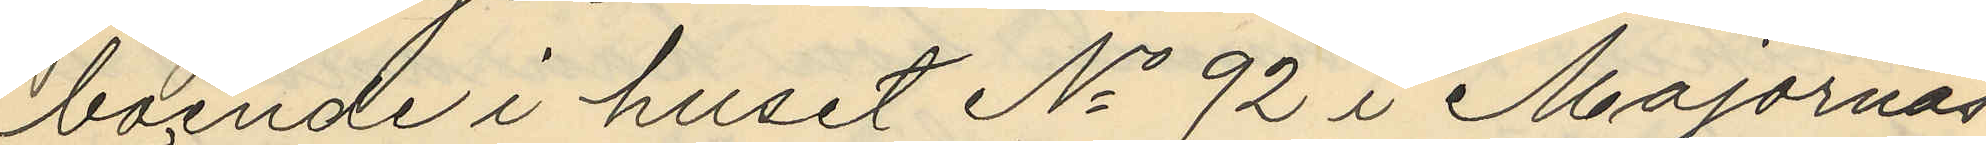boende i huset No 92 i Majornas
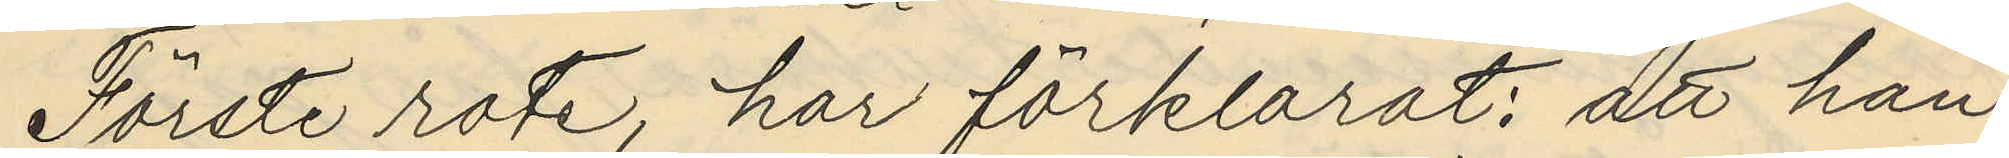Förste rote, har förklarat: att han
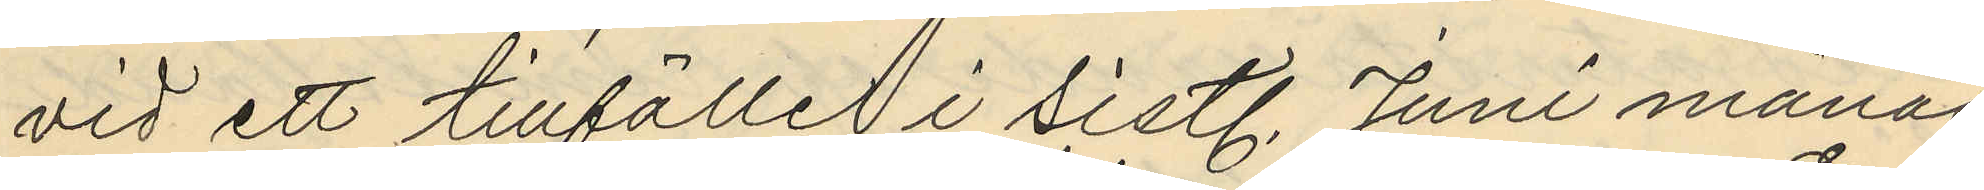vid ett tillfälle i sistl. Juni månad
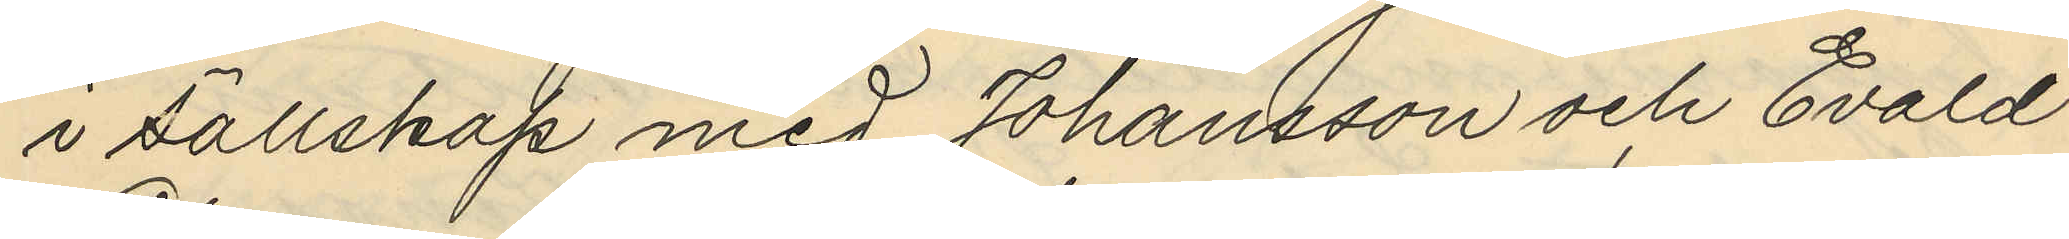i sällskap med Johansson och Evald
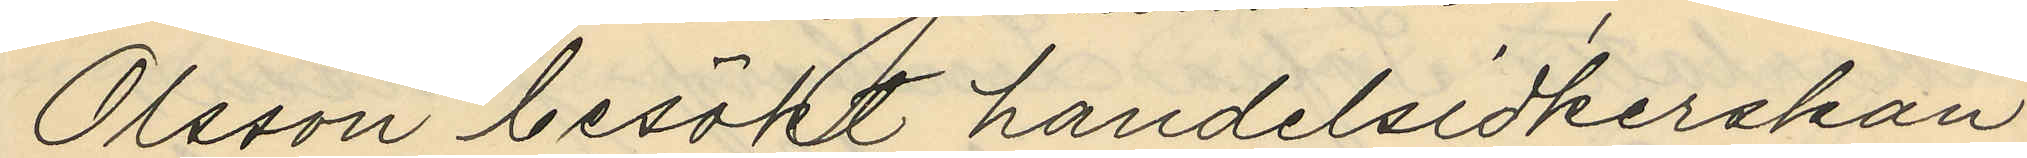Olsson besökt handelsidkerskan
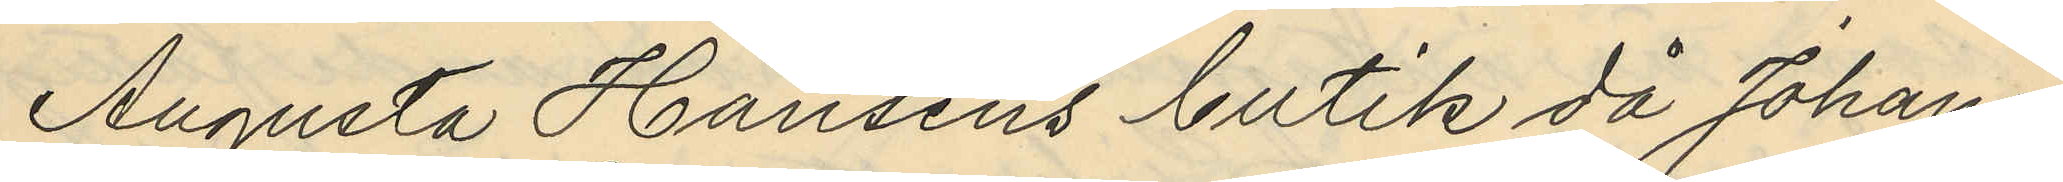Augusta Hansens butik då Johans¬
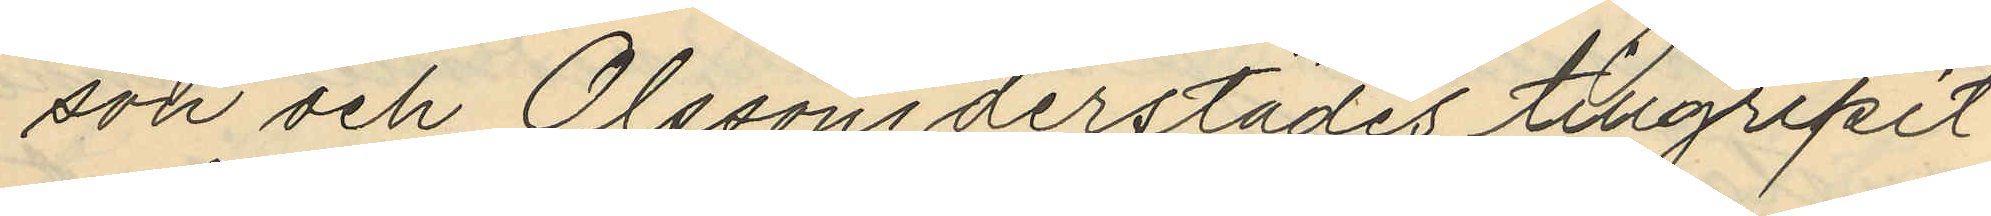son och Olsson derstädes tillgripit
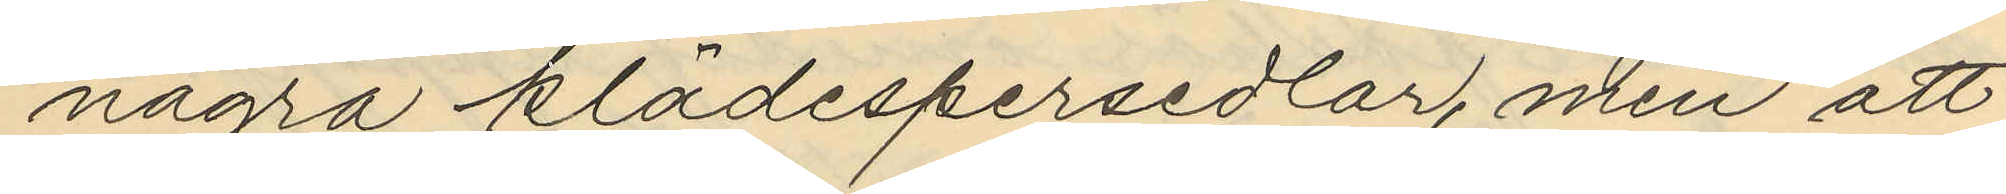några klädespersedlar, men att
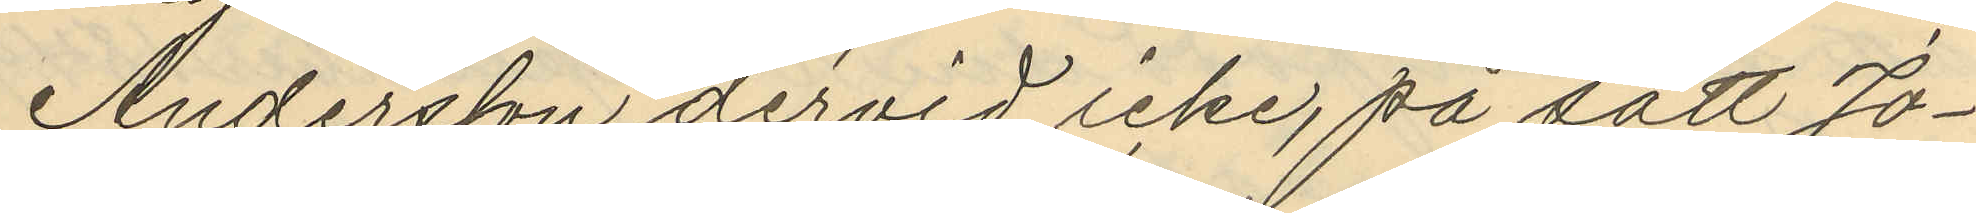Andersson dervid icke, på sätt Jo¬
